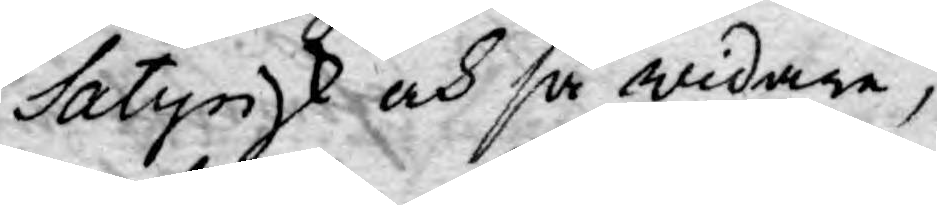Satyrisk och så widare,
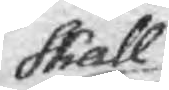skall
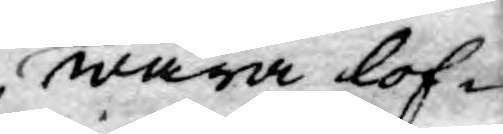wara lof¬
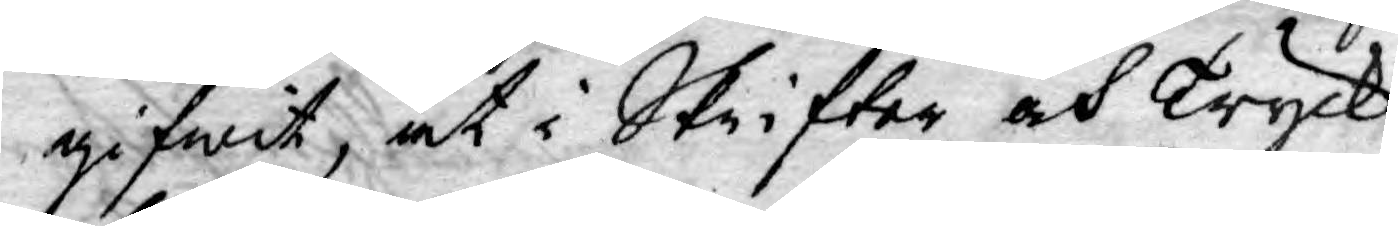gifwit, at i Skrifter och Tryck
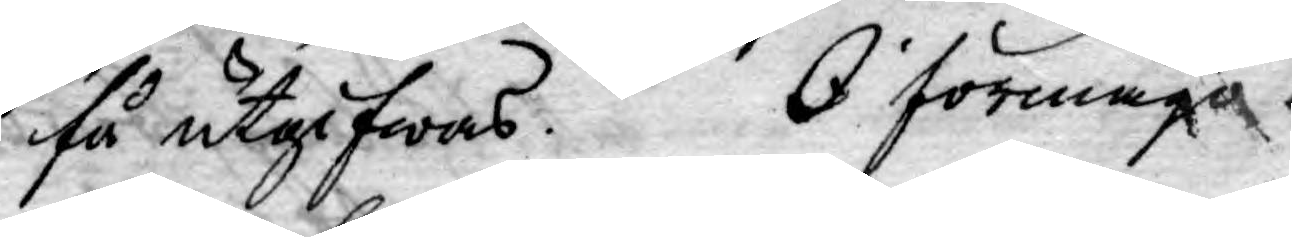få utgifwas. I förmågo
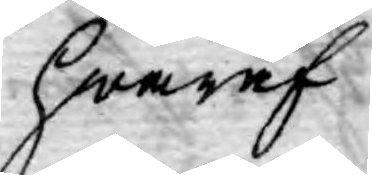hwaraf.
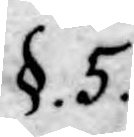§. 5.
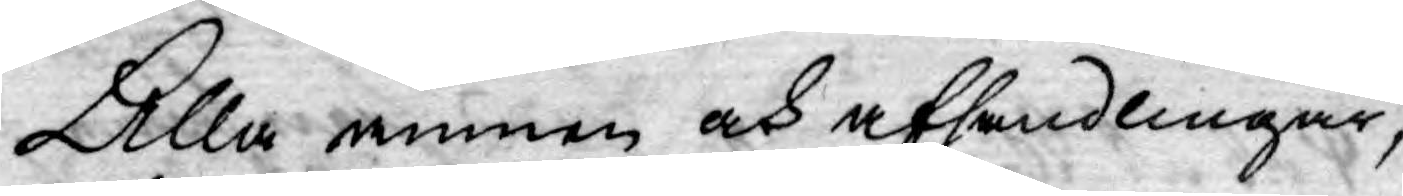Alla ämnen och afhandlingar,
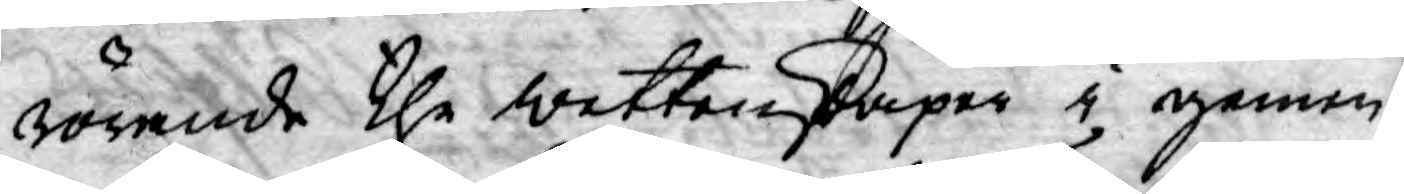rörande the wettenskaper i gemen,
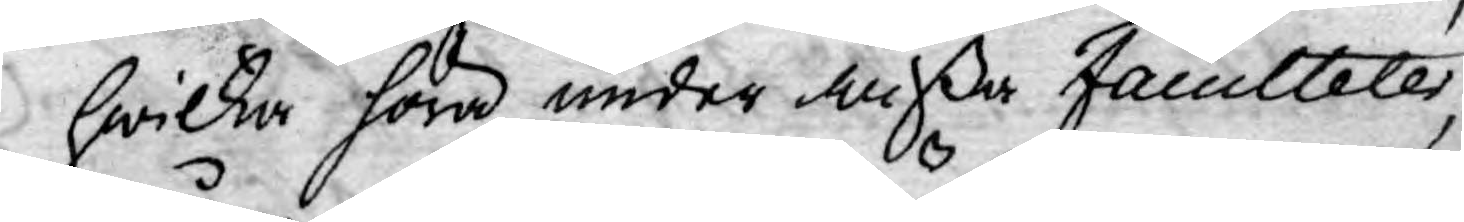hwilka höra under deßa Faculteter,
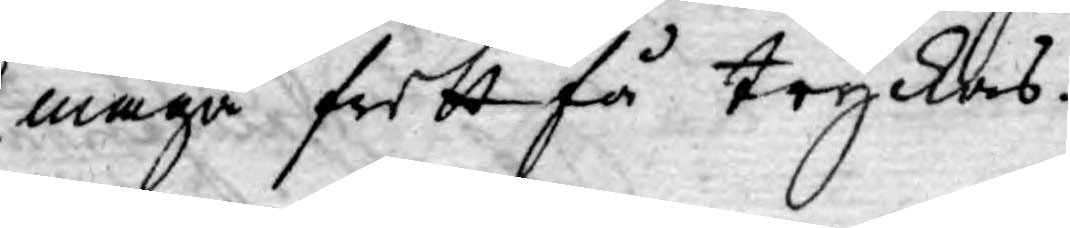måga fritt få tryckas.
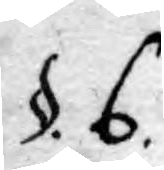§. 6.
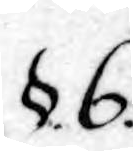§.6.
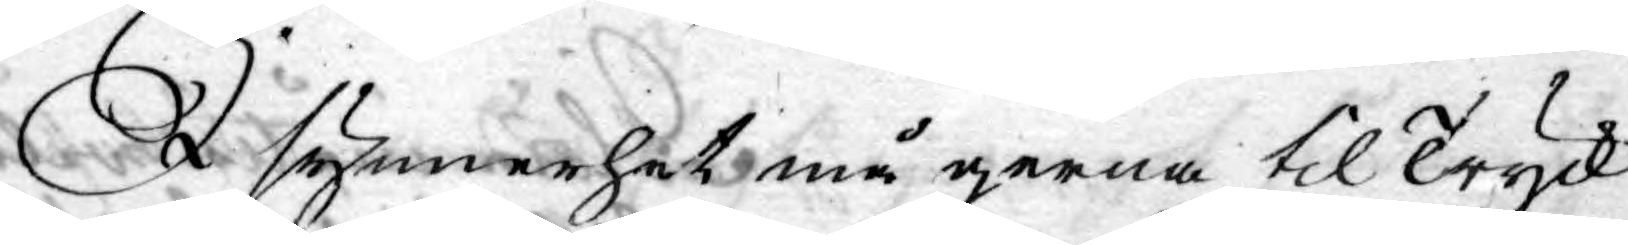I synnerhet må gerna til Tryck
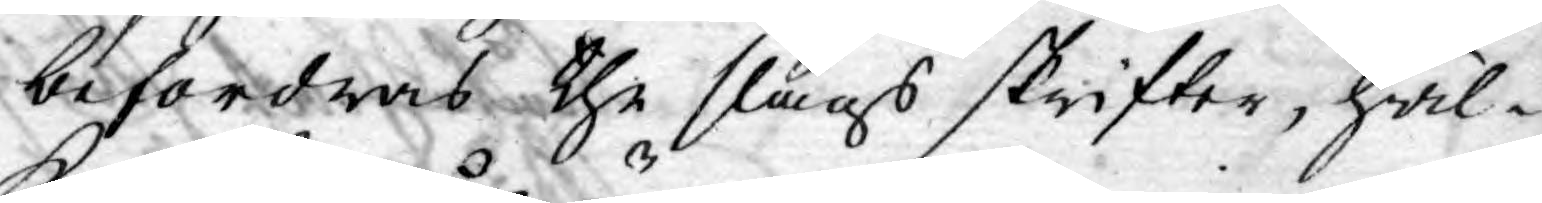befordras the slags skrifter, hwil¬
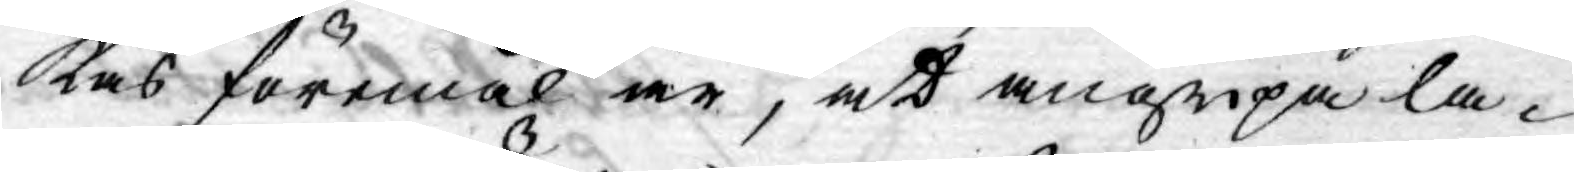kas föremål är, at angripa la¬
